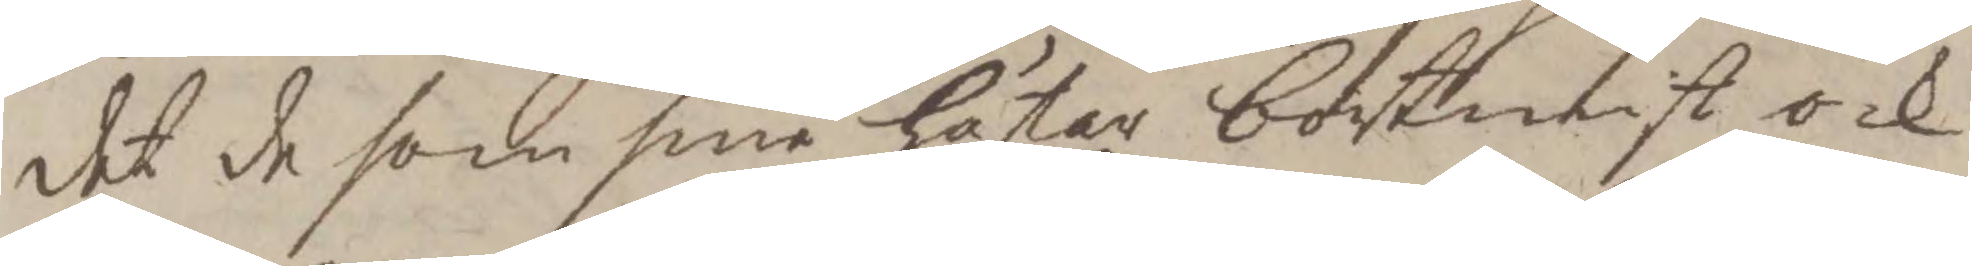det de som sine Hästar bortmist ock
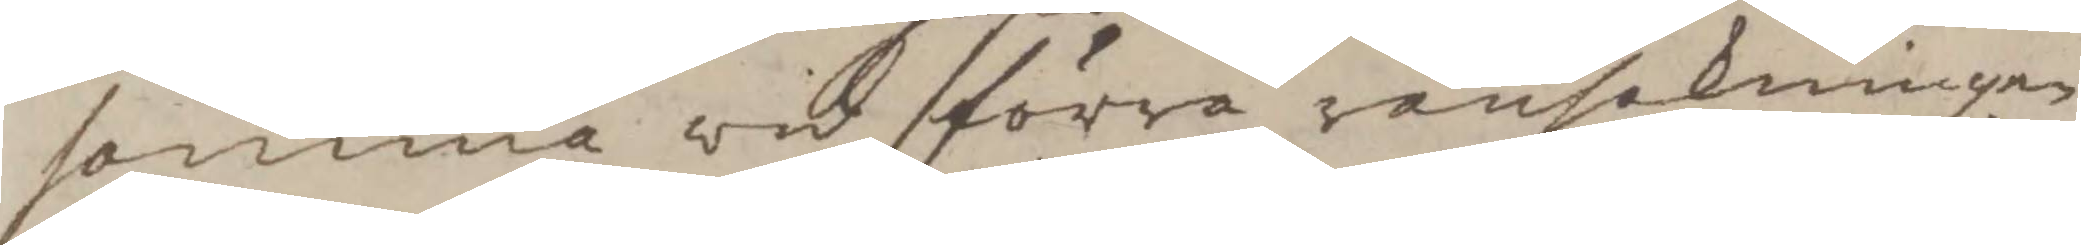samma wid förra ransakningen
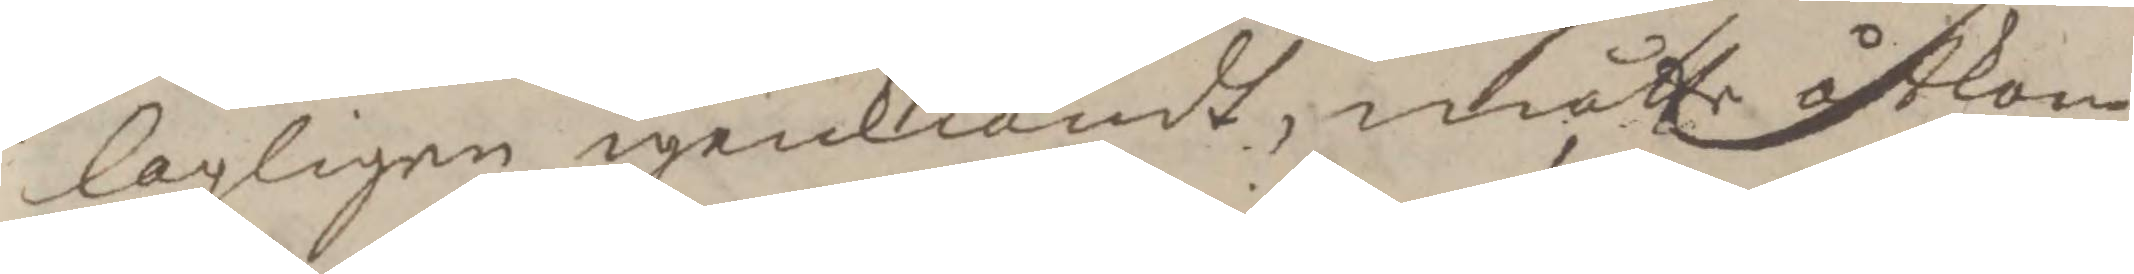lagligen igenkiänst, måtte åtkom¬
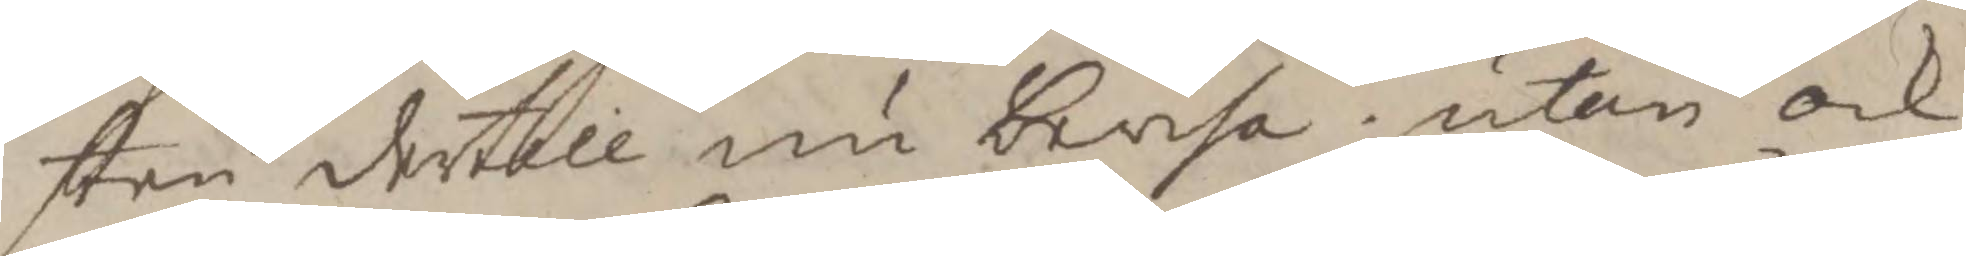sten dertill nu bevisa; utan ock
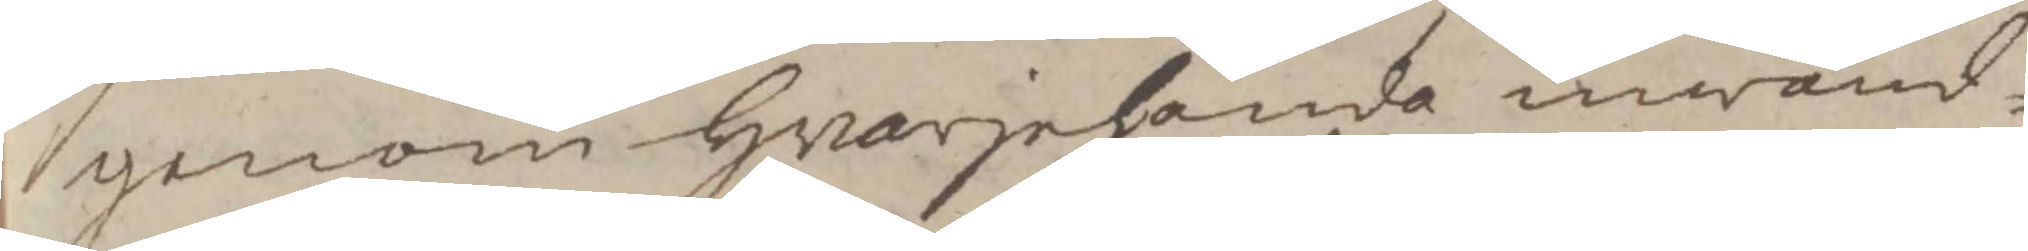genom hvarjehanda inwänd¬
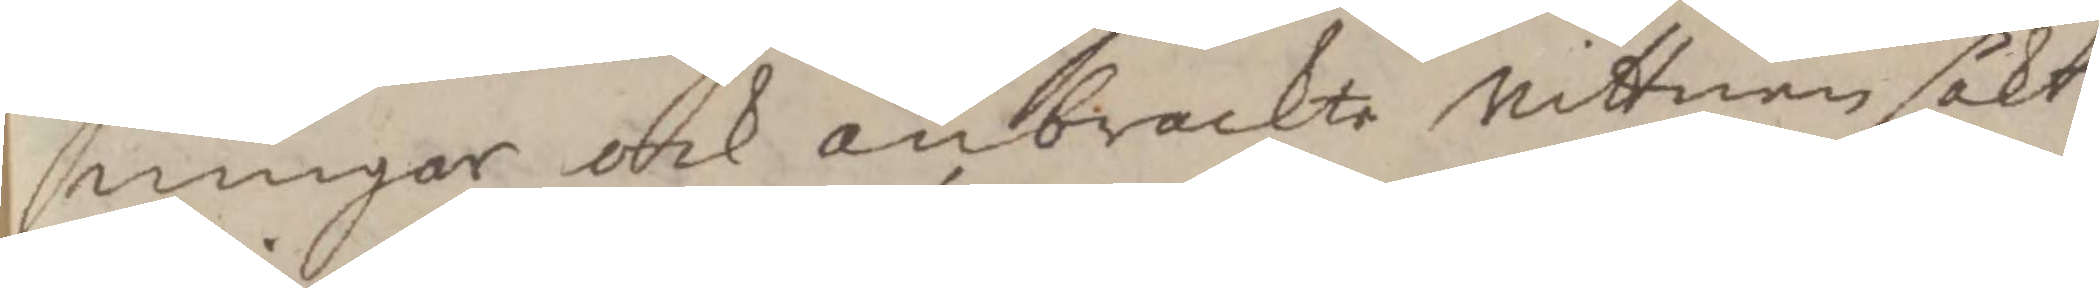ningar ock anbrachte vittnen sökt
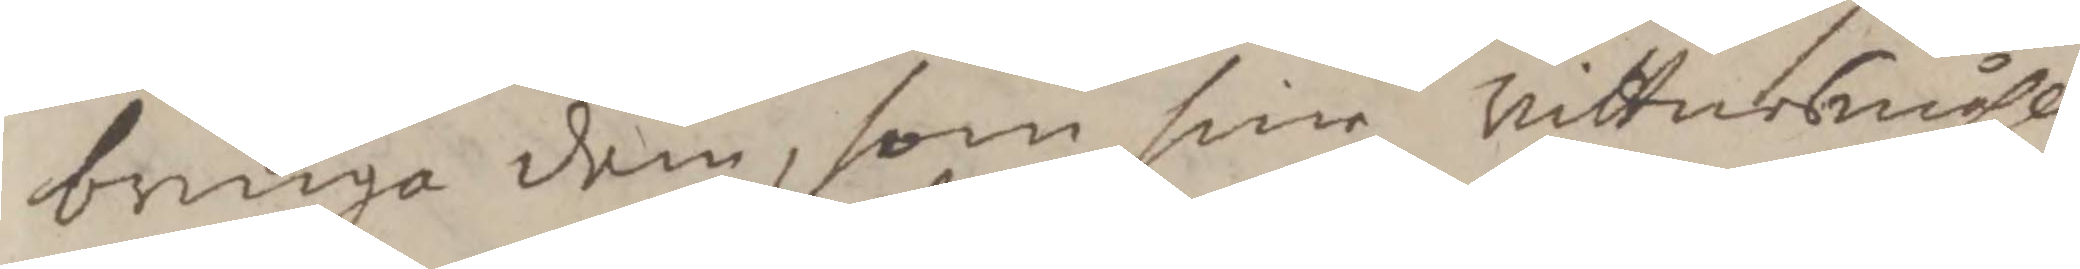bringa dem, som sine vittnesmåhl
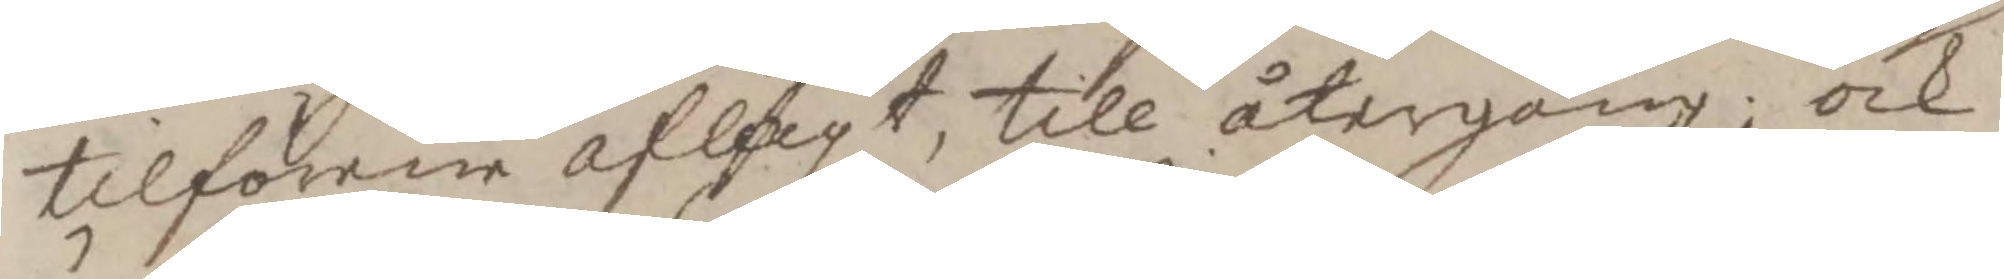tilförenr aflagt, till återgång; ock
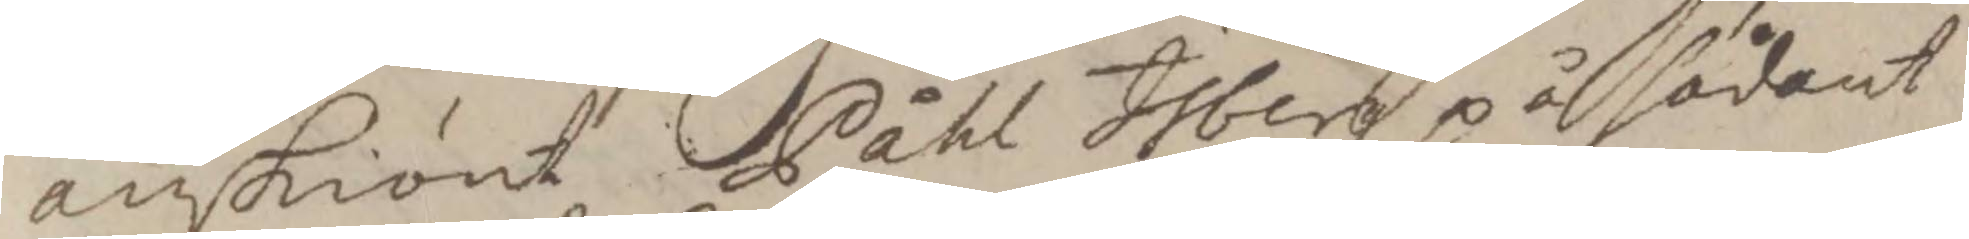änskiönt Påhl Isberg på sådant
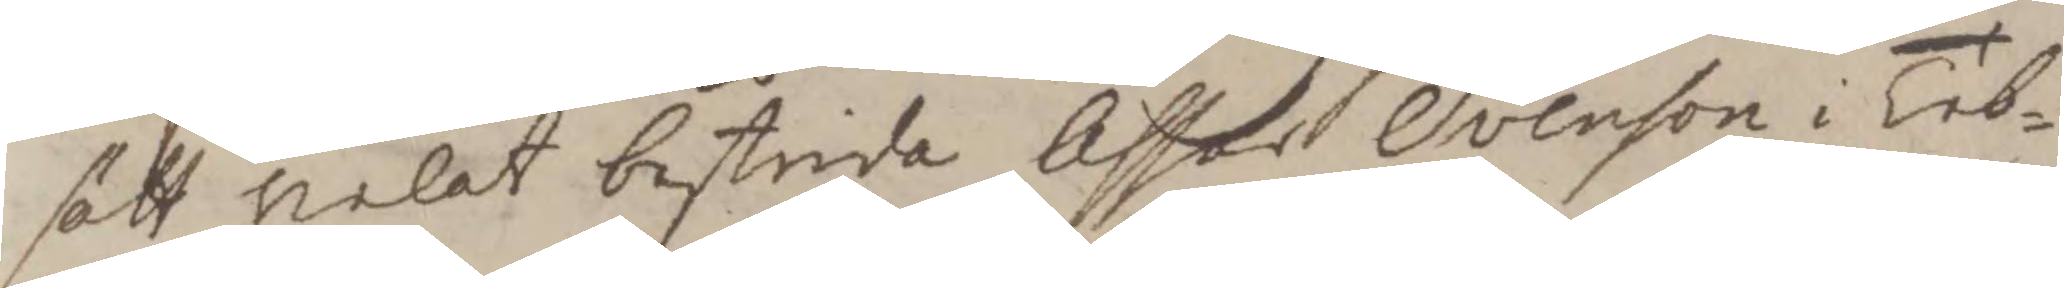sätt velat bestrida Assor Svenson i Tib¬
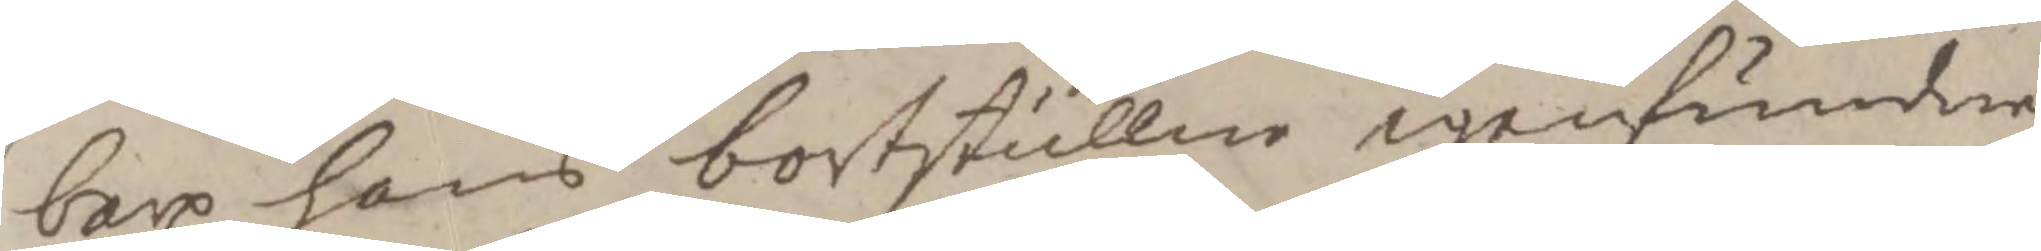barp hans bortstullne igenfundne
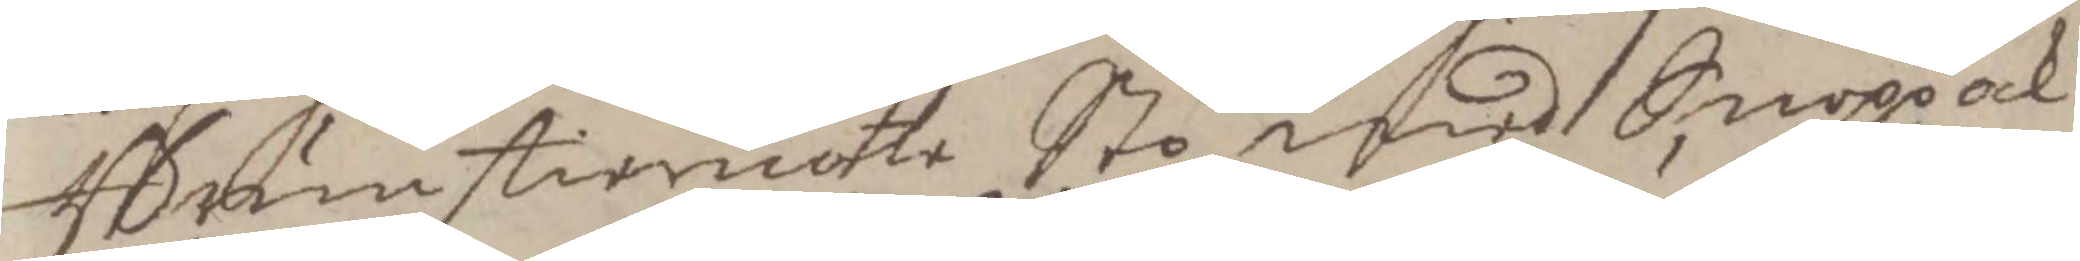Brunstierote Sto med Snopp ock
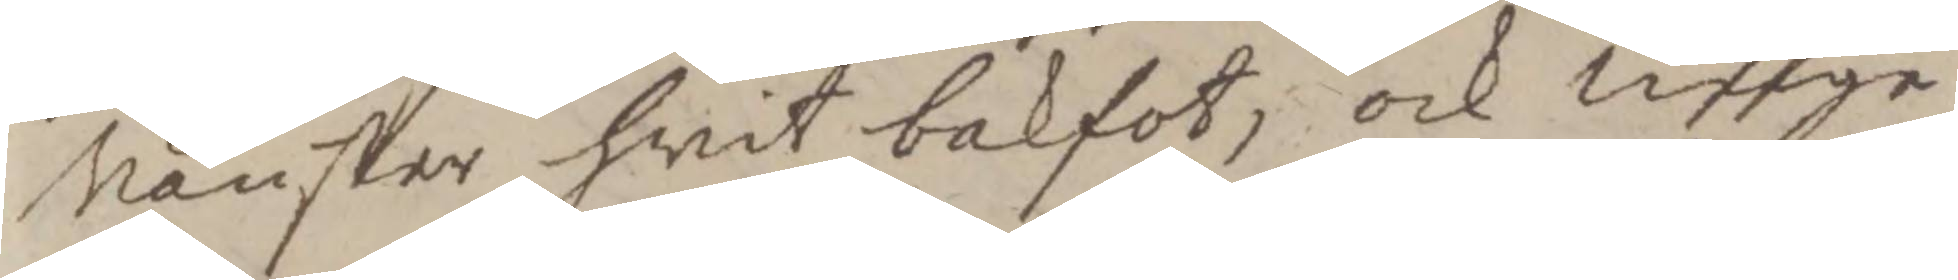vänster hwit bakfot, ock unge
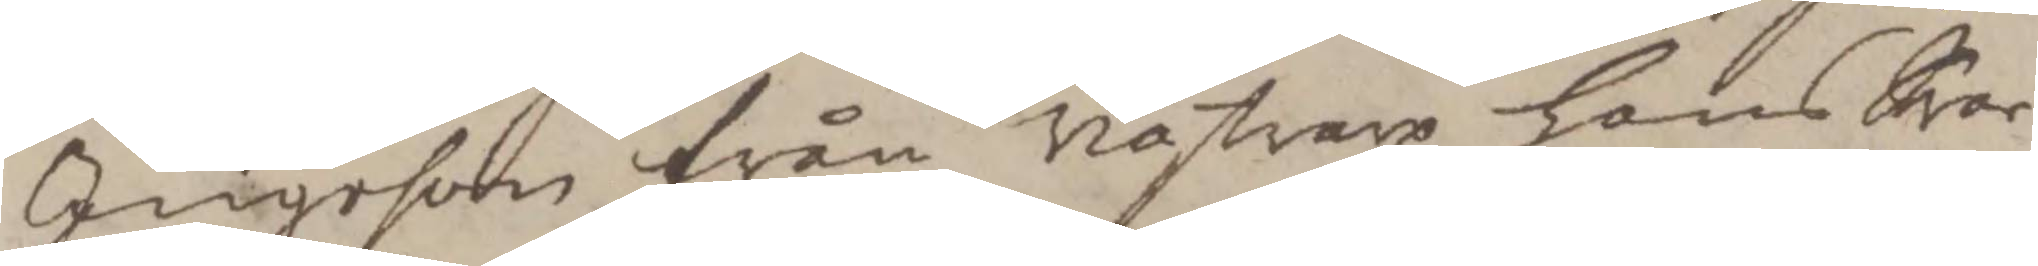Ingeson från Västarp hans Svar¬
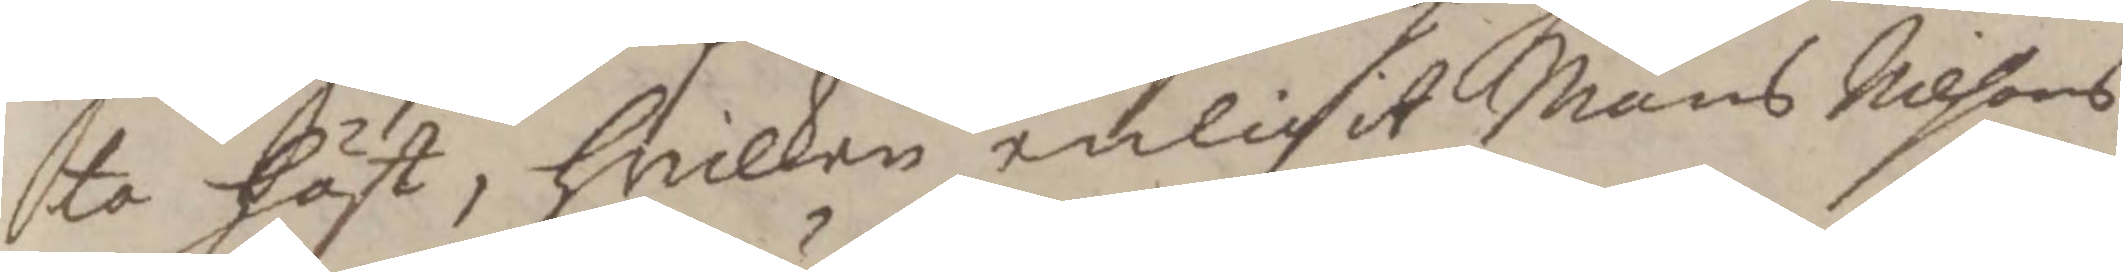ta Häst, Hwilken enligit Måns Nilsons
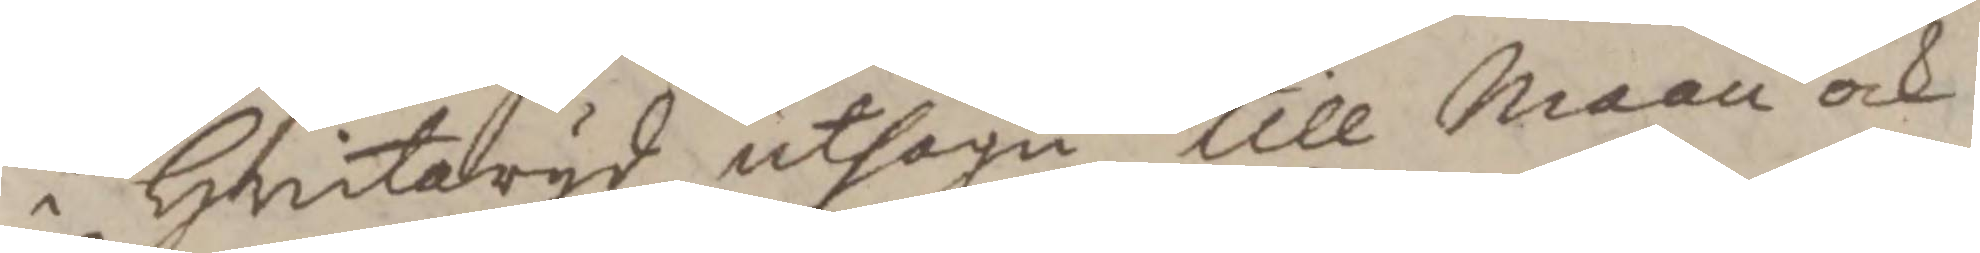i Hwitaryd utsagu till Maan ock
